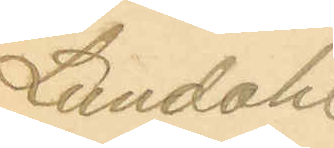Lundahl
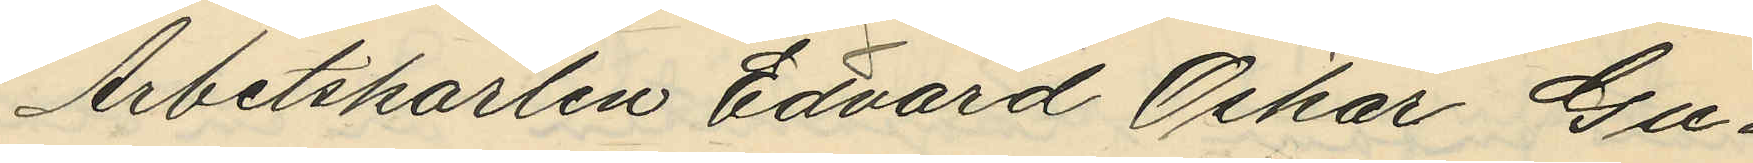Arbetskarlen Edvard Oskar Gu¬
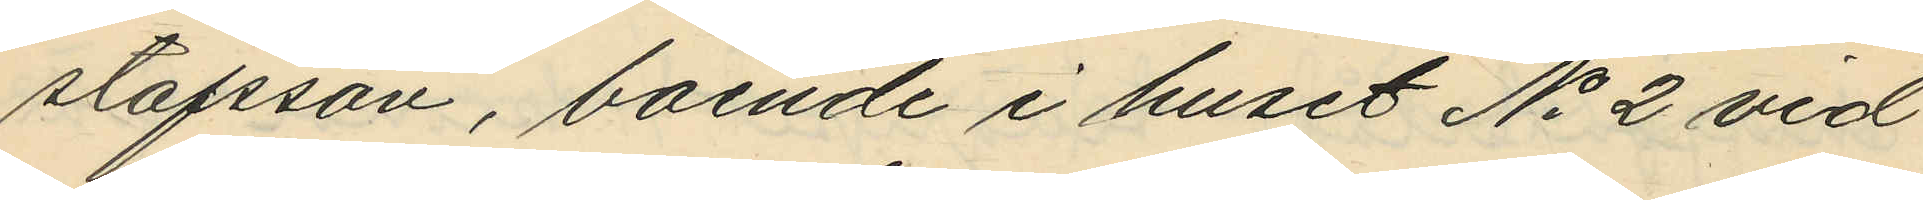stafsson, boende i huset No 2 vid
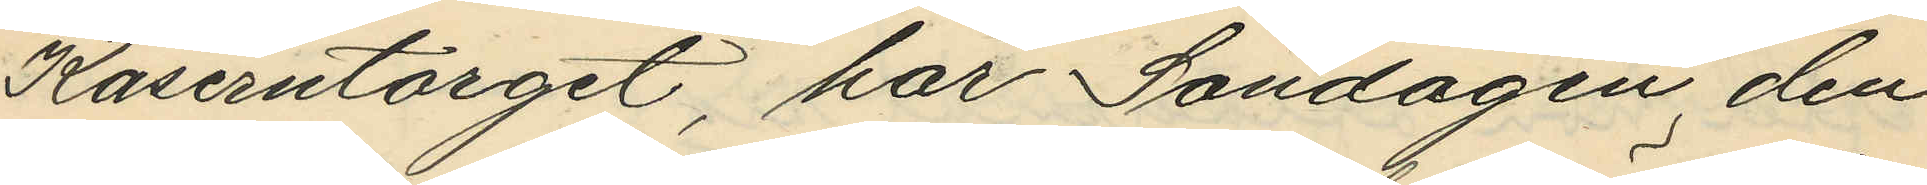Kaserntorget, har Söndagen den
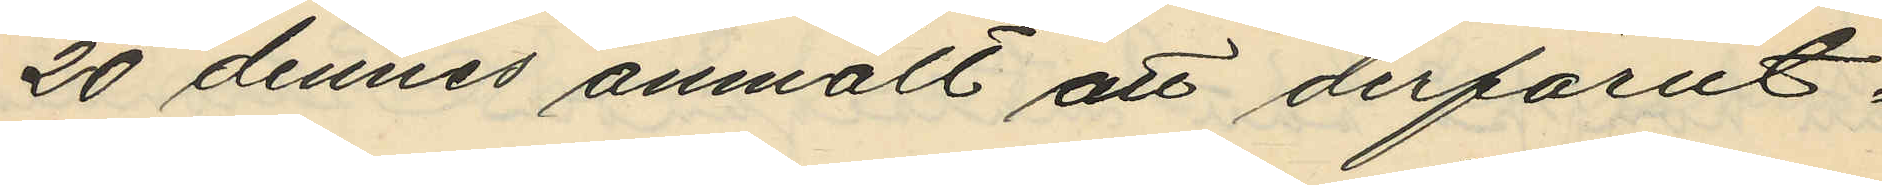20 dennes anmält att derförut¬
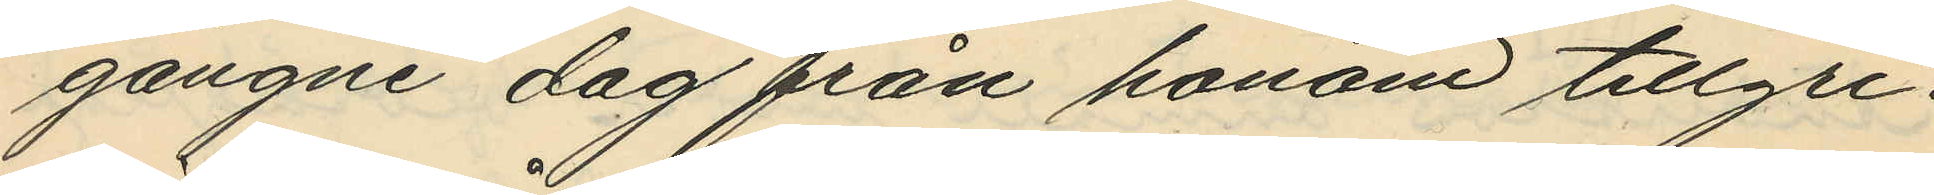gångne dag från honom tillgri¬
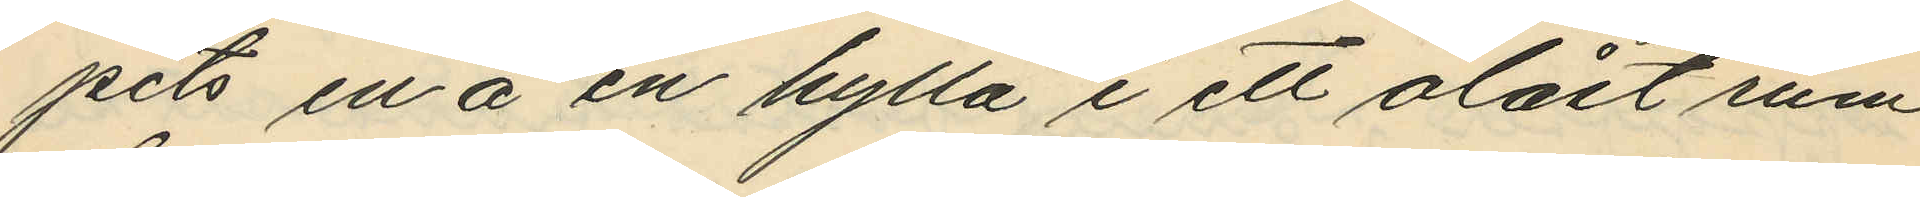pits en å en hylla i ett olåst rum
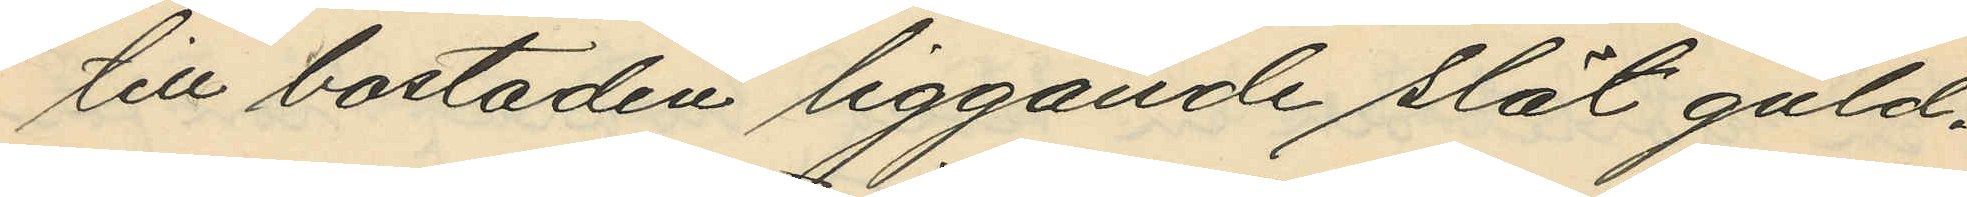till bostaden liggande slät guld¬
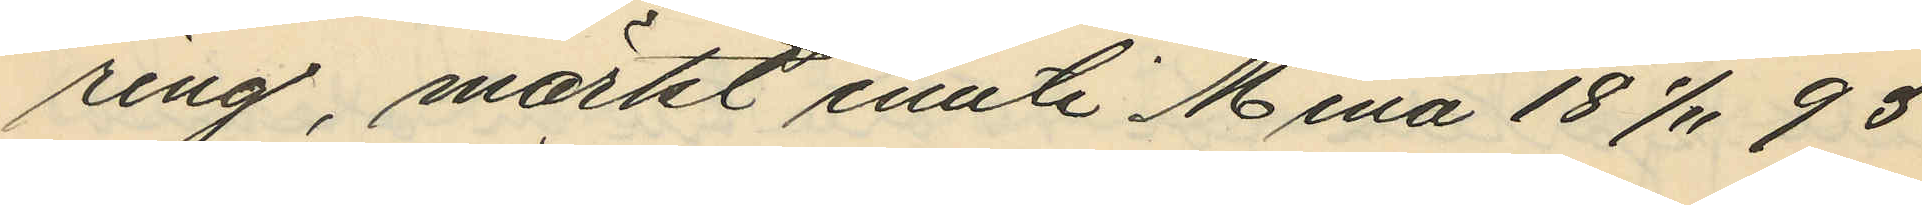ring, märkt inuti Mina 18 1/11 93
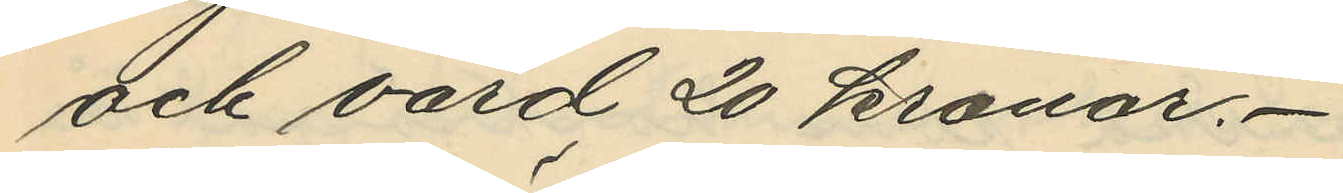och värd 20 kronor.
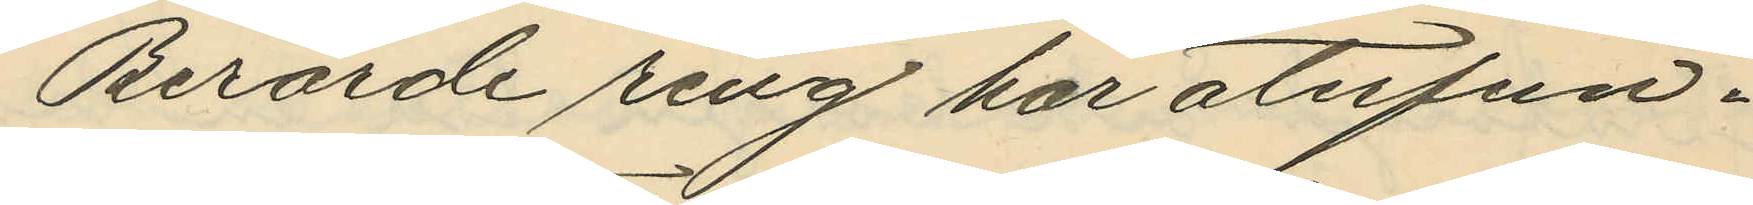Berörde ring har återfun¬
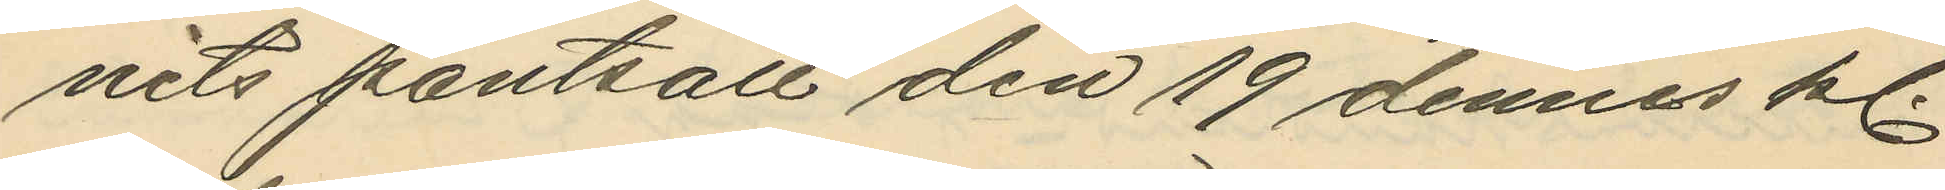nits pantsatt den 19 dennes kl.
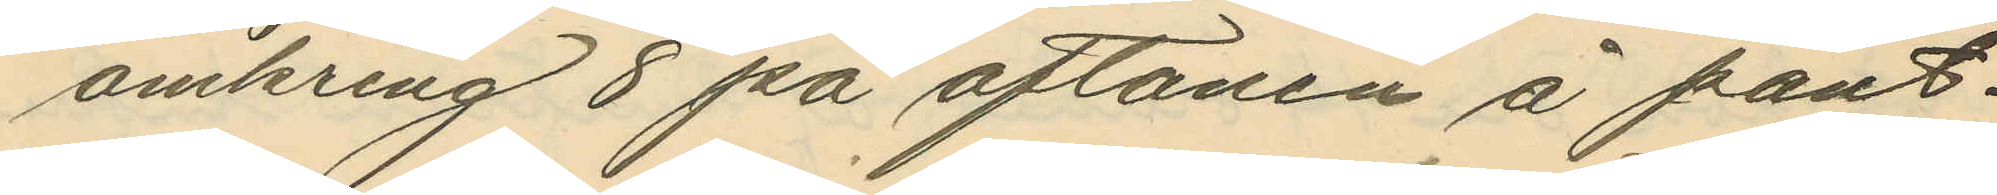omkring 8 på aftonen å pant¬
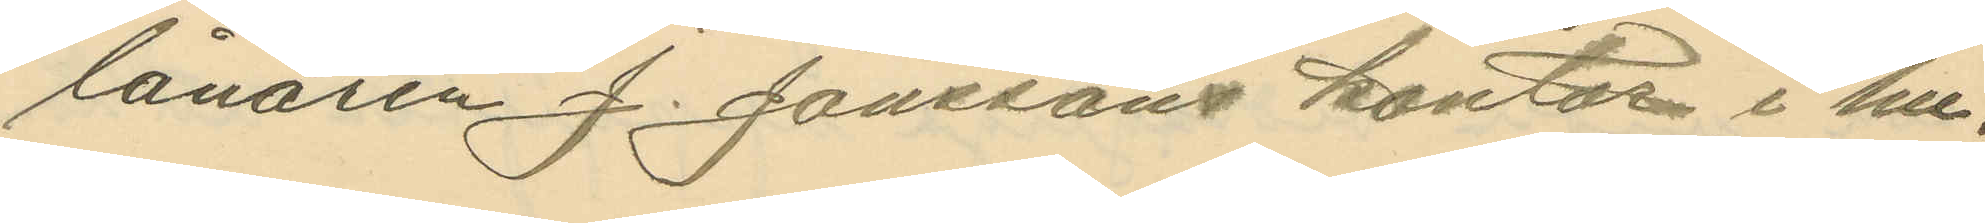lånaren J. Jonssons kontor i hu¬
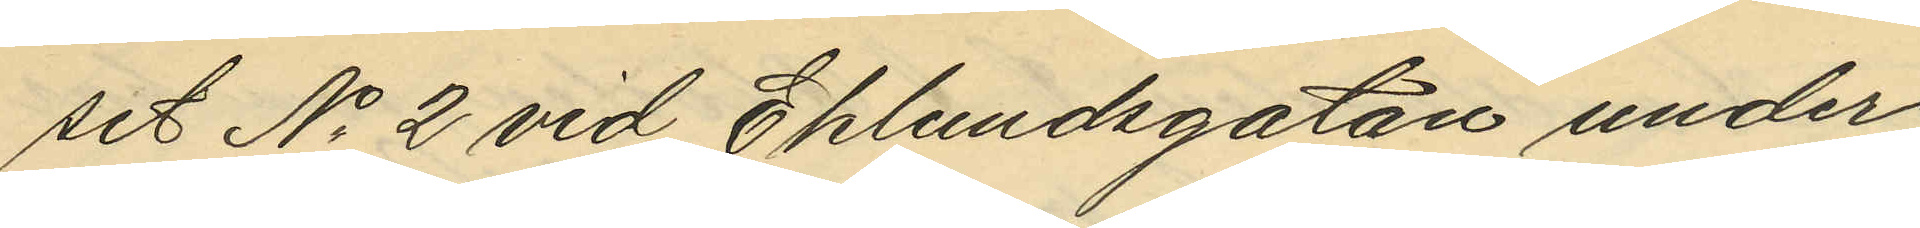set No 2 vid Eklundsgatan under
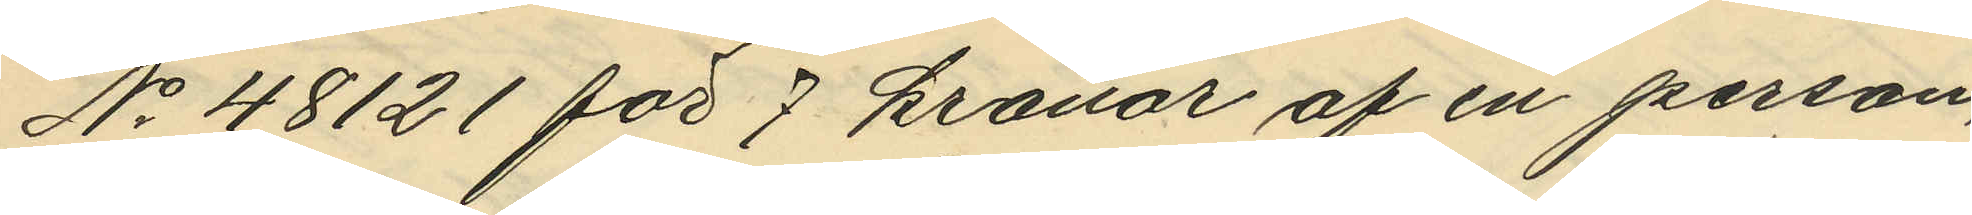No 48121 för 7 kronor af en person,
